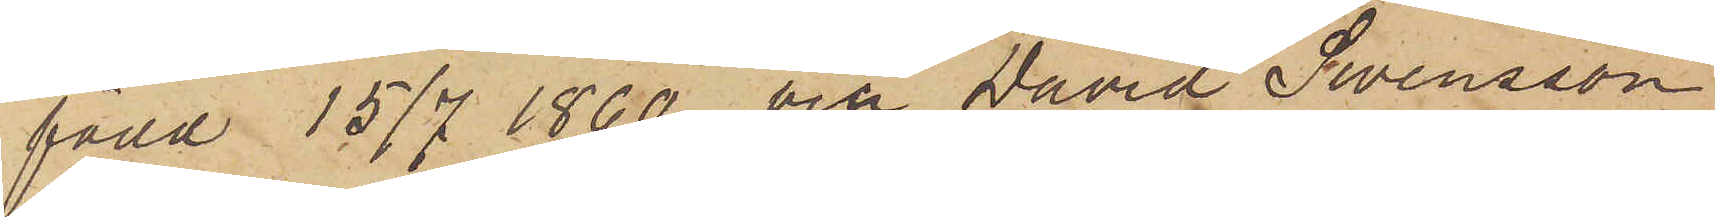född 15/7 1860. och David Swensson
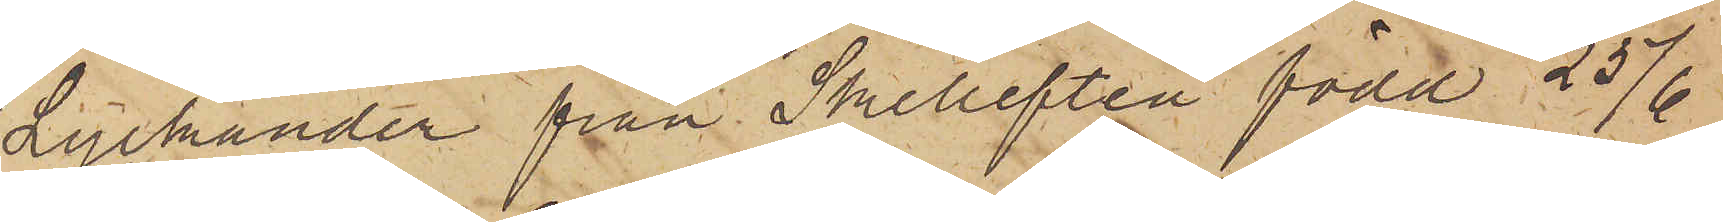Lyckander från Skellefteå född 25/6
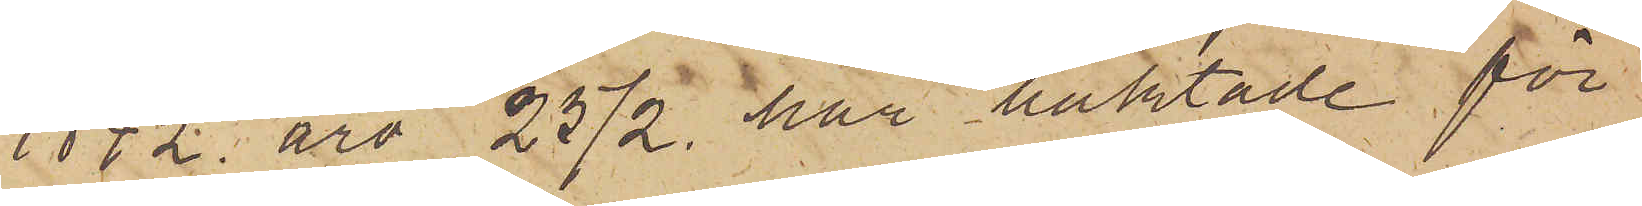1842 äro 25/2 här häktade för
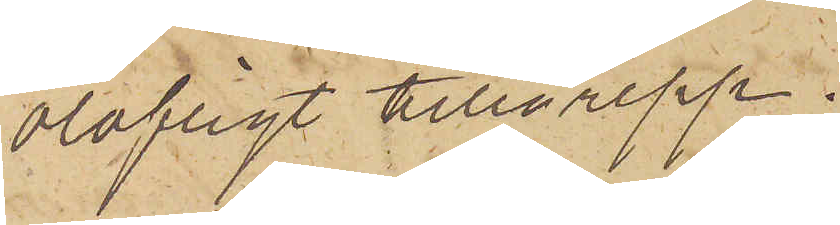olofligt tillgrepp.
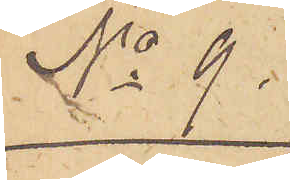No 9.
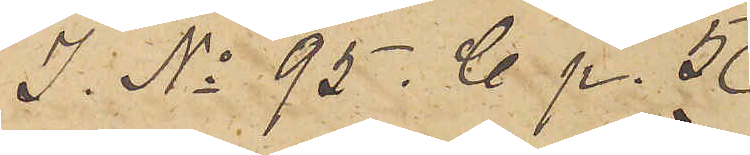I. No 95. C. p. 5
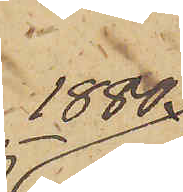1880.
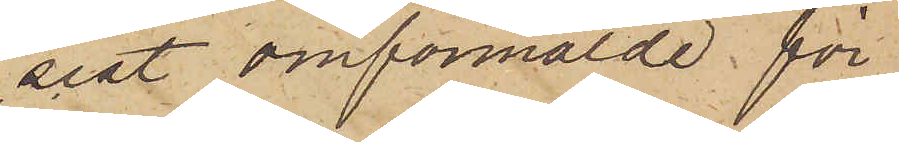sist omförmälde för
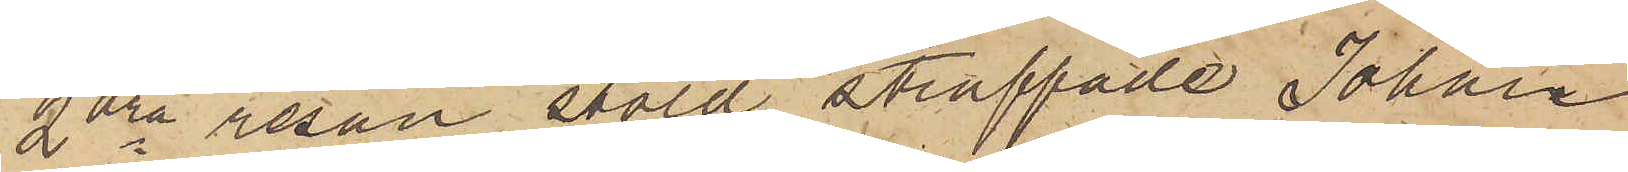2dra resan stöld straffade Johan
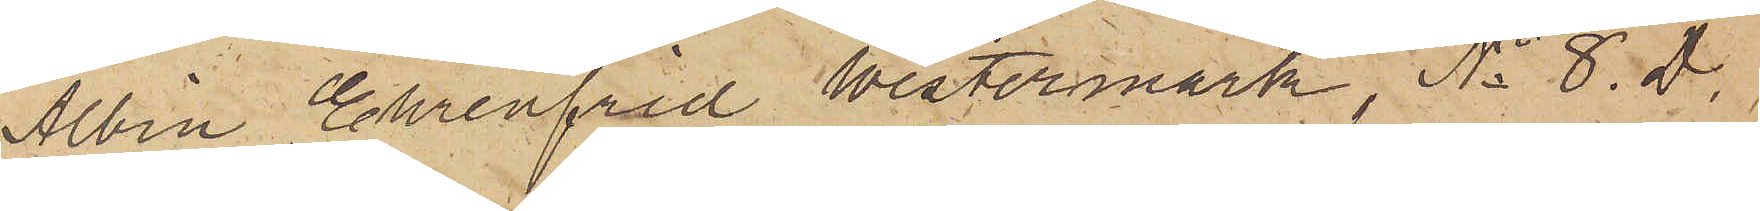Albin Ehrenfrid Westermark, No 8. D.
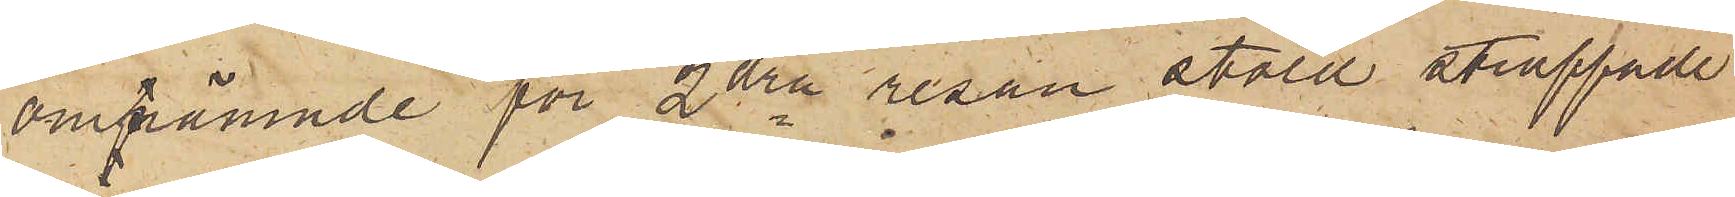omnämnde för 2dra resan stöld straffade
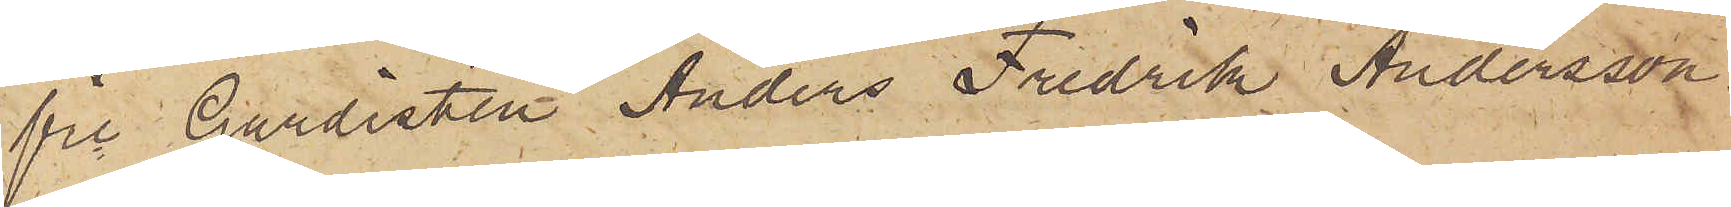fre Gardisten Anders Fredrik Andersson
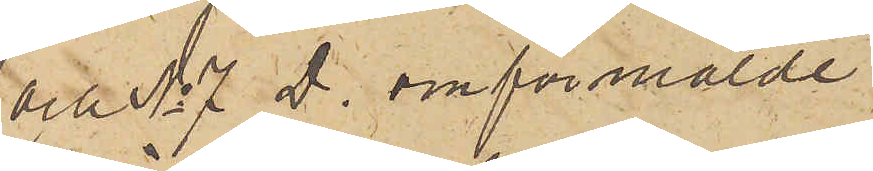och No 7 D. omförmälde
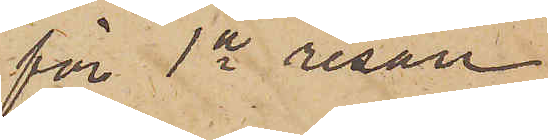för 1a resan
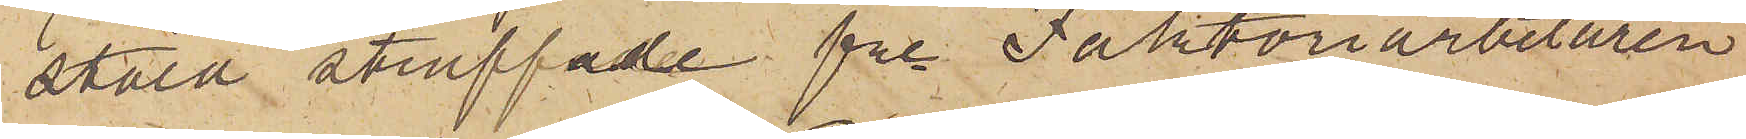stöld straffade fre Faktoriarbetaren
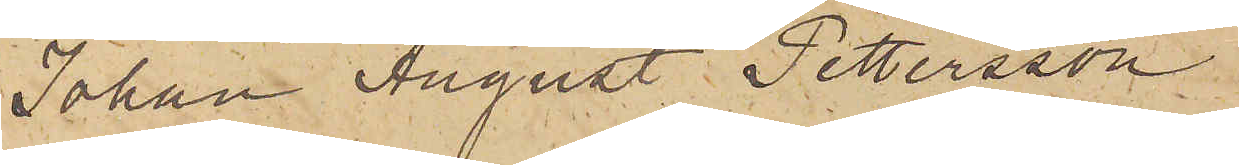Johan August Pettersson.
